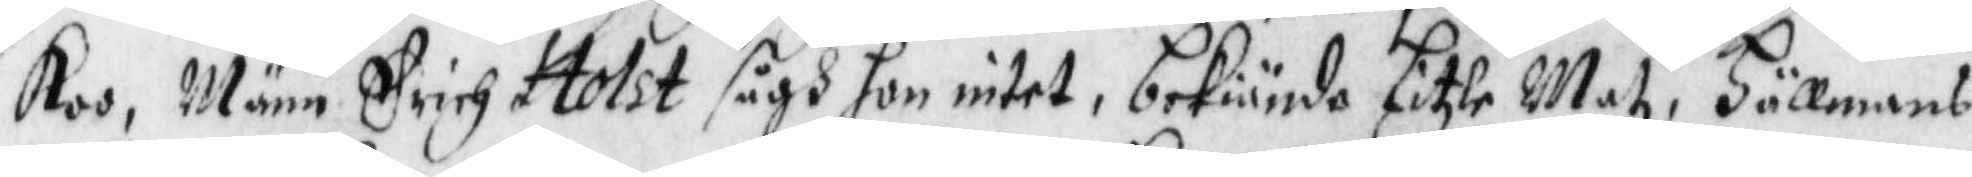Koo, Män Erich Holst sågh hon intet, bekiände Litzle Matz, Hällmans
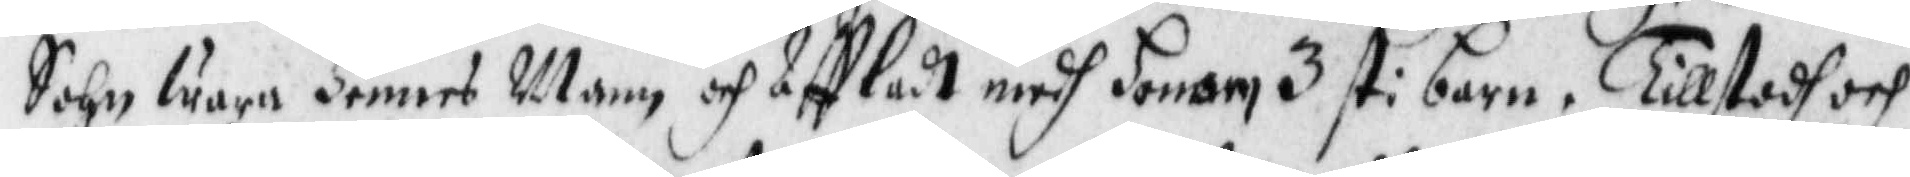Sohn wara hennes mann och Affladt medh honom 3 st: barn. Tillstodh och
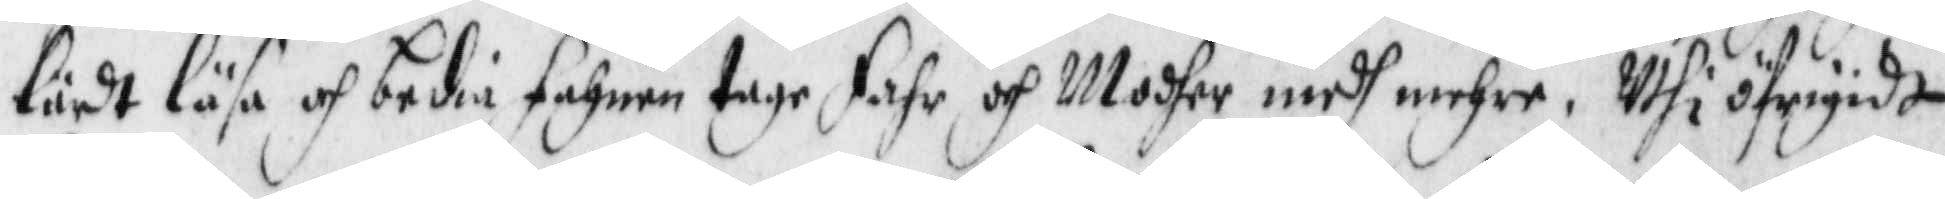lärdt läsa och bedia fahnen tage fahr och Modher medh mehre, Uthi öfrigidt
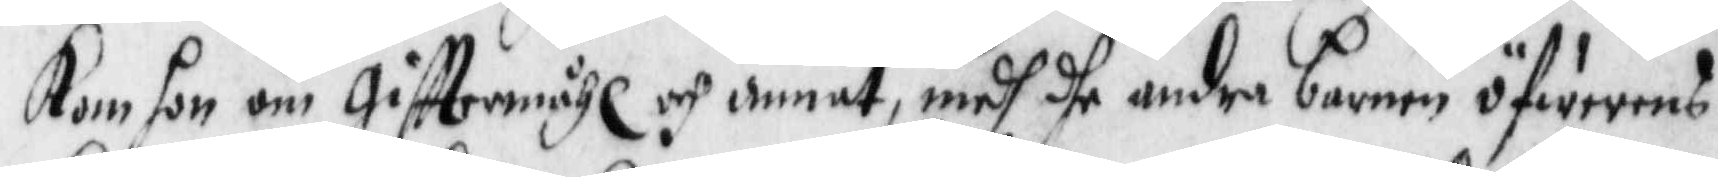Kom hon om Gifttermåhl och annat medh dhe andra barnen öfwerens.
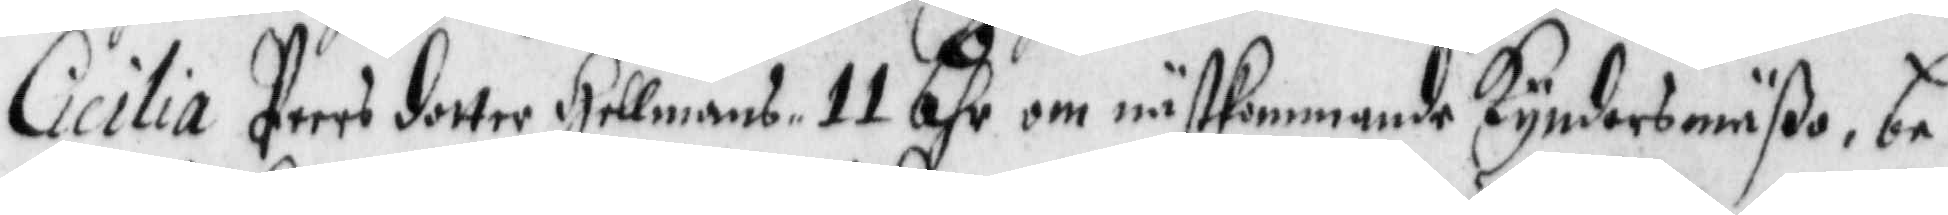Cicilia Peers dotter Hellmans 11 Åhr om nästkommande Kyndelsmäßo, be¬
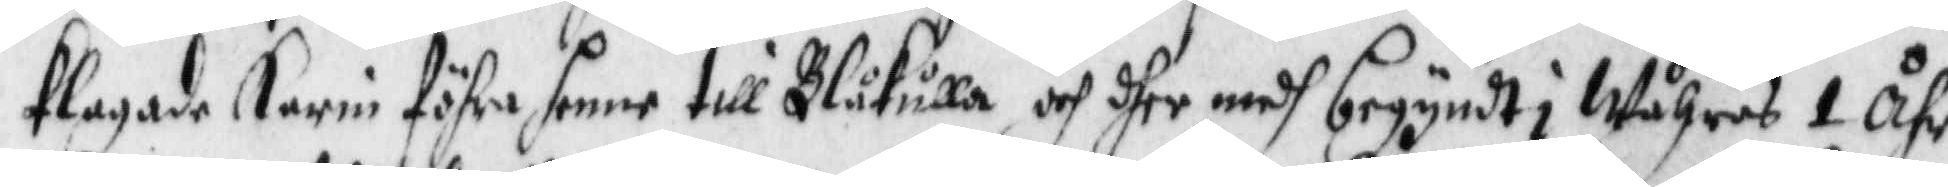klagade Karin föhra henne till Blåkulla och dher medh begyndt i wåhras 1 Åhr
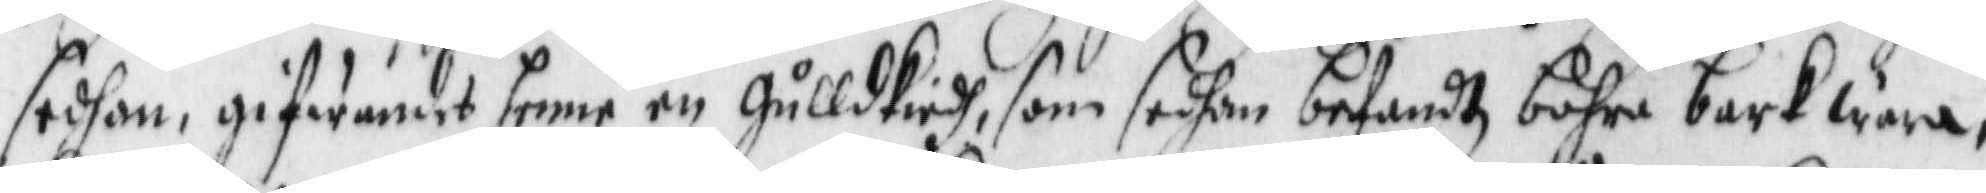sedhan, gifwandes henne en gulldkiedh, som sedhan befandtz bahra bark wara,
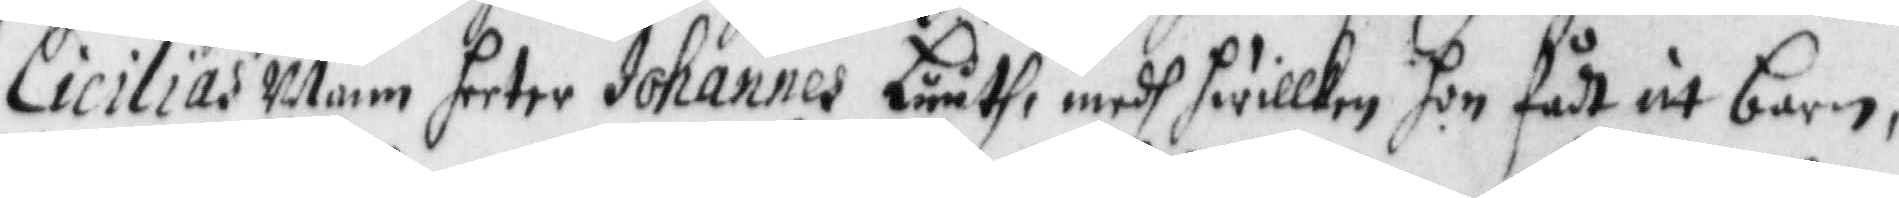Cicilias Mann heeter Johannes Luuthe, medh hwilken hon fådt itt barn,
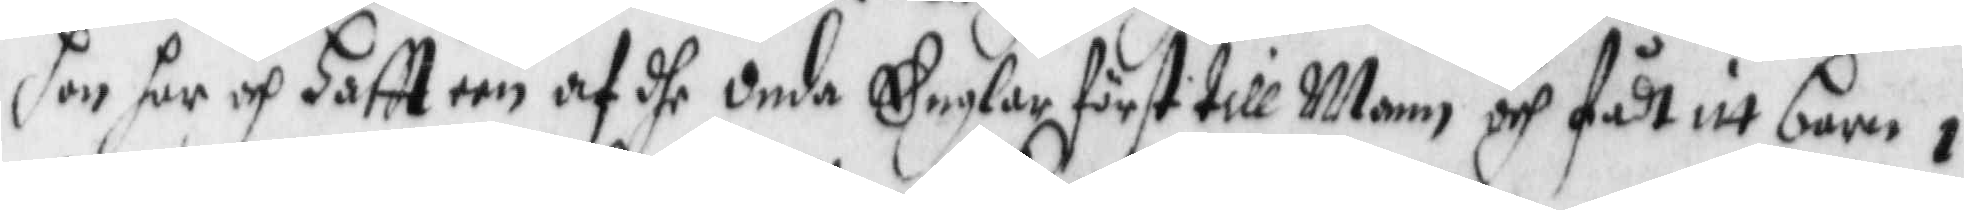hon har och hafft een af dhe onda Englar först till Mann, och fådt itt barn i
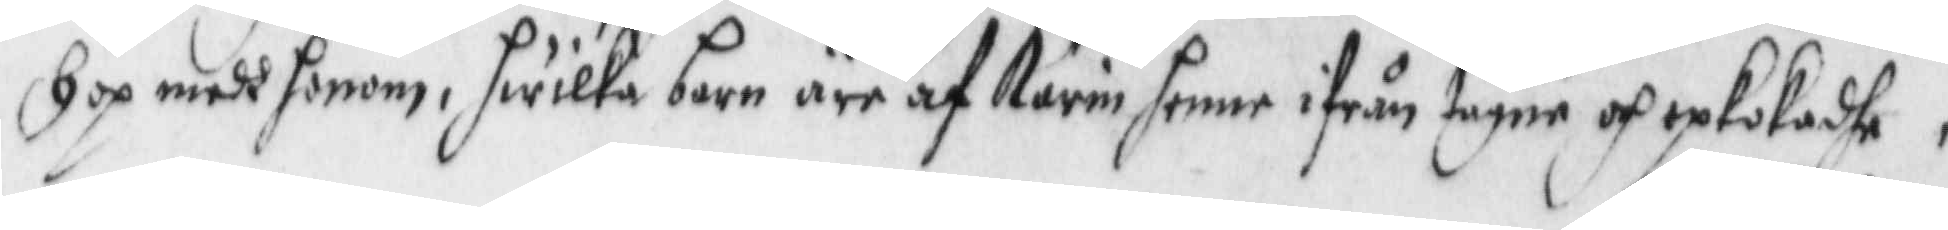hop medh honom, hwilka barn äre af Karin henne ifrån tagne och opkokadhe,
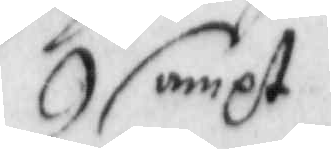sampt
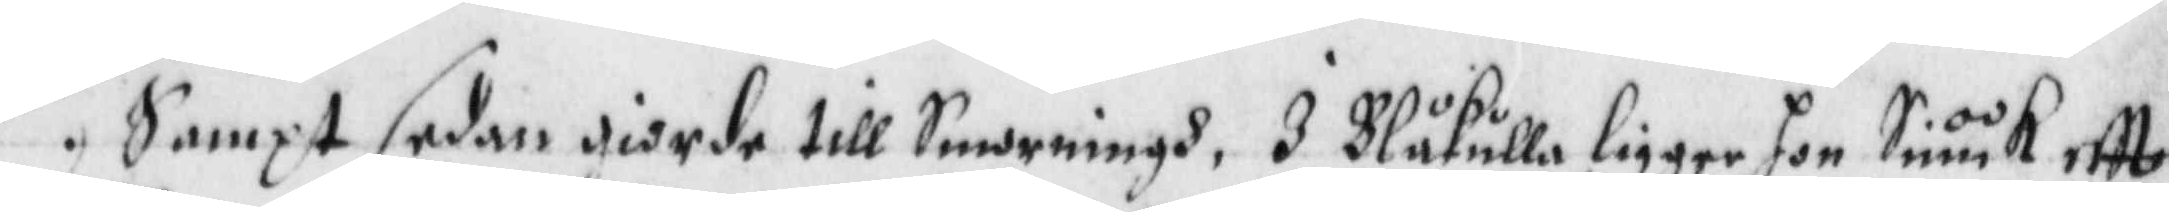Sampt sedan giorde till Smorningh, I Blåkulla ligger hon Siuuk eftter
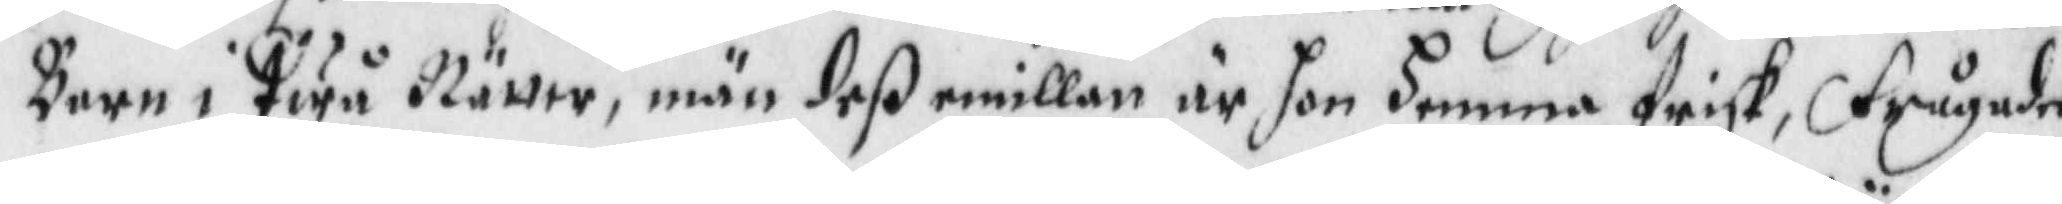Barn i Twå Nätter, män deßemillan är hon hemma frisk, frågades
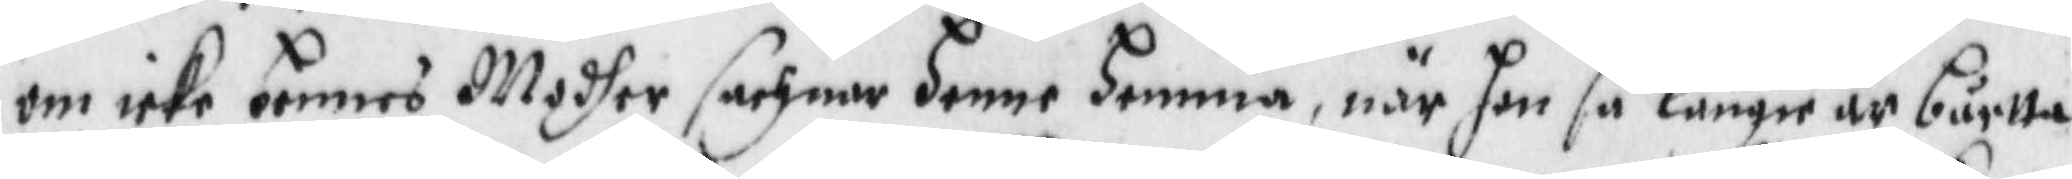om icke barnens Modher sachnar henne hemma, när hon så längie är bårtta,
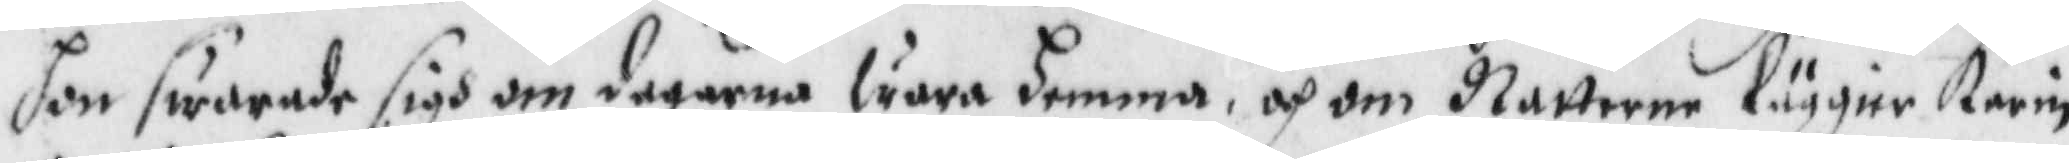hon swarade sigh om dagarna wara hemma, och om Natterne läggier Karin
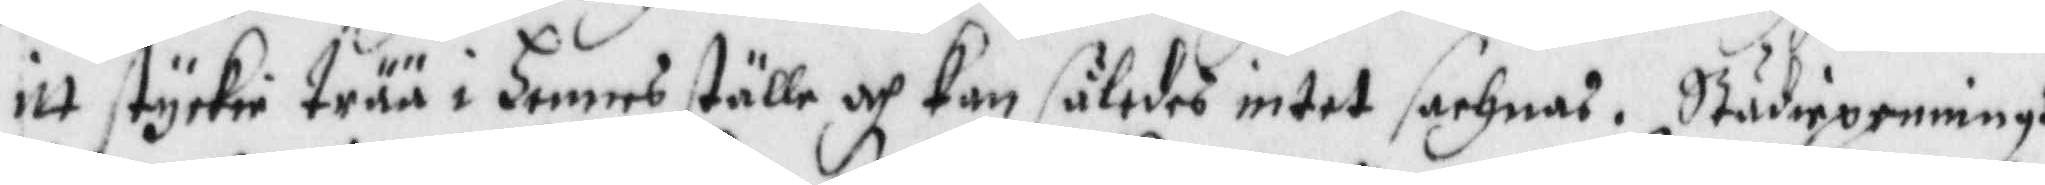itt styckie trää i hennes ställe och kan således intet sachnas. Städiepenningh
